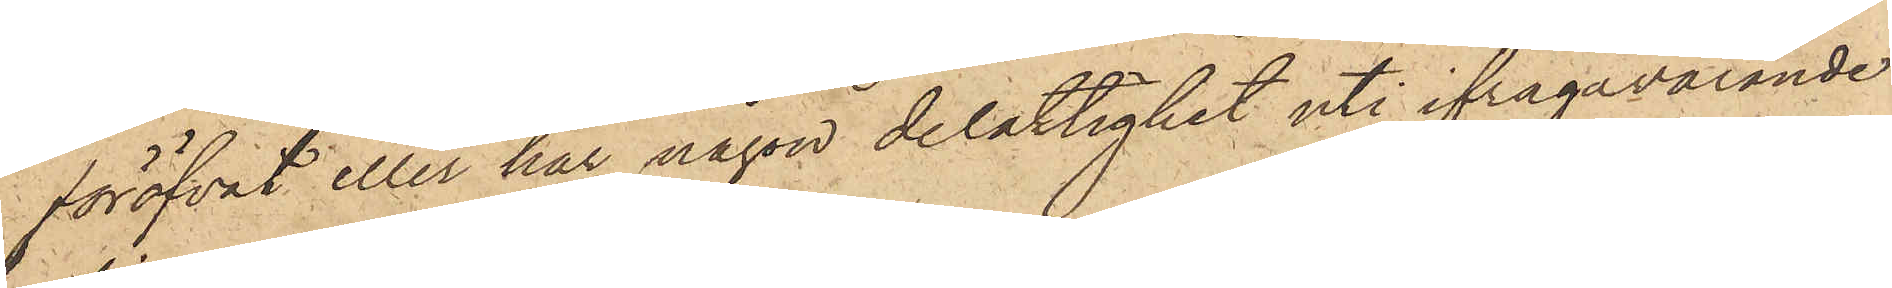föröfvat eller har någon delaktighet uti ifrågavarande
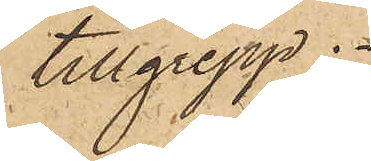tillgrepp.
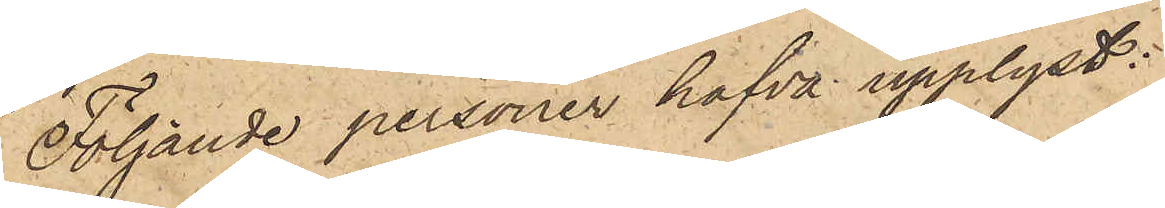Följande personer hafva upplyst:
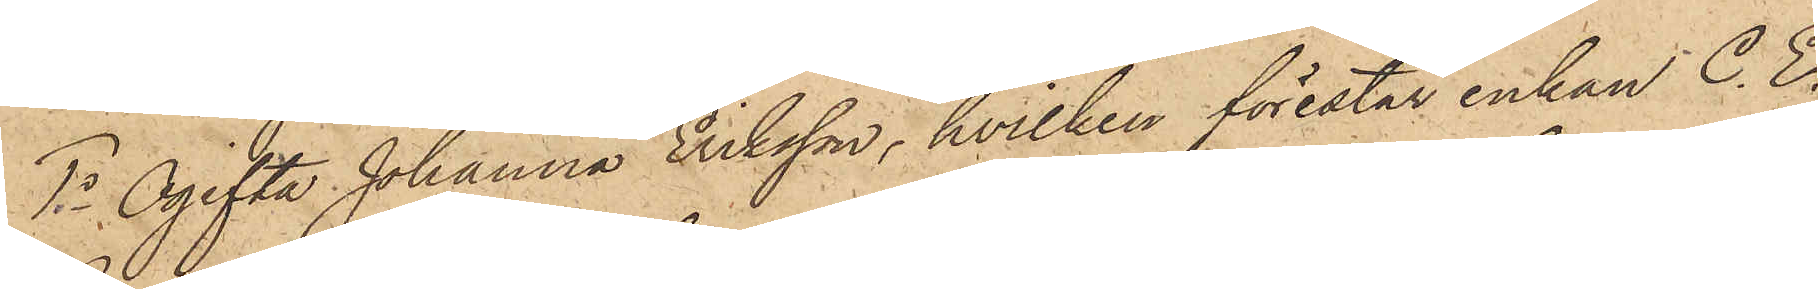1o Ogifta Johanna Eriksson, hvilken förestår enkan C. E.
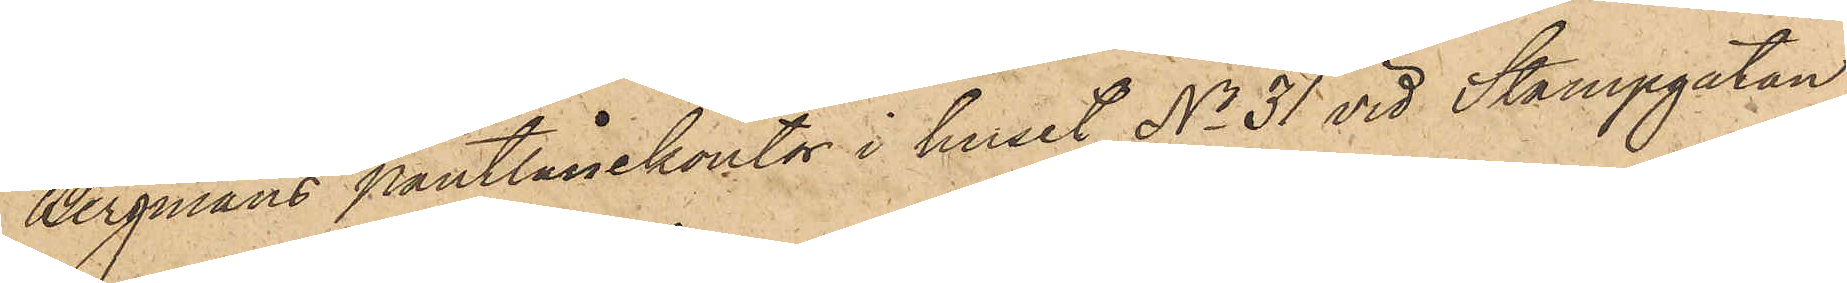Bergmans pantlånekontor i huset No 31 vid Stampgatan,
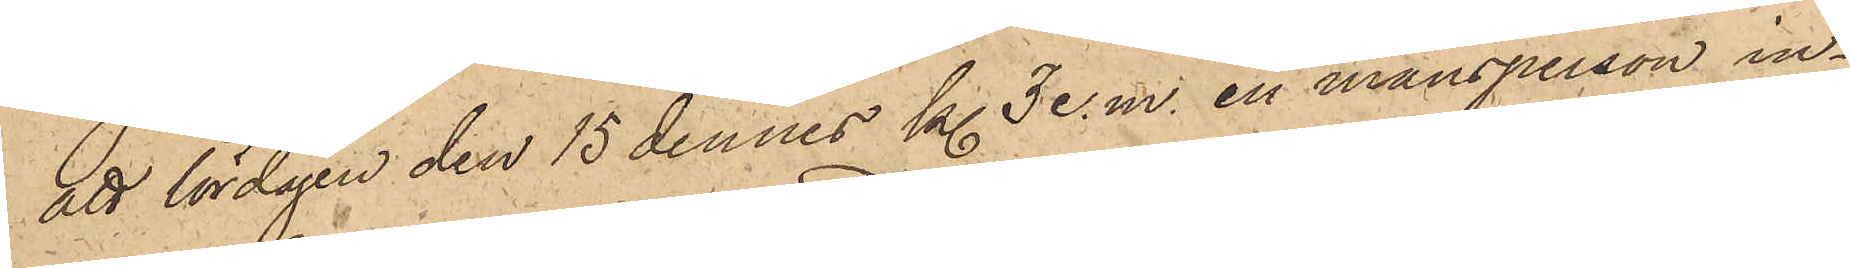att lördagen den 15 dennes kl 3 e.m. en mansperson in¬
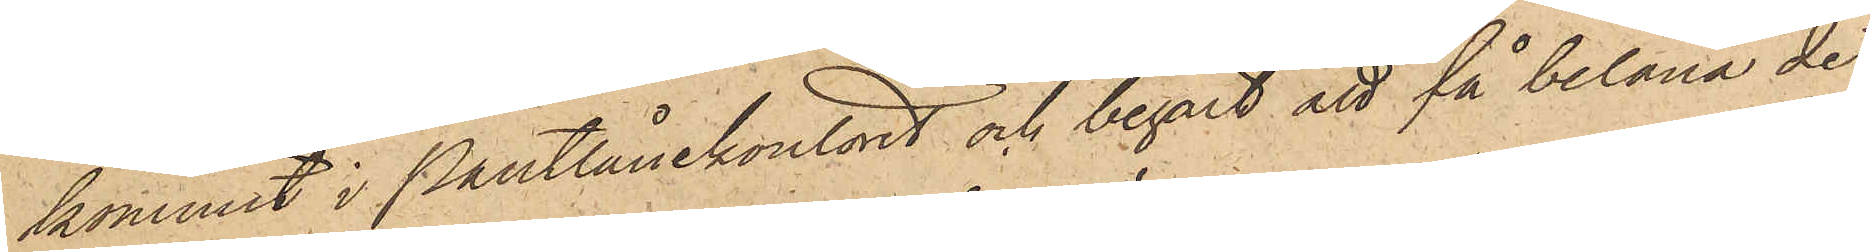kommit i Pantlånekontoret och begärt att få belåna det
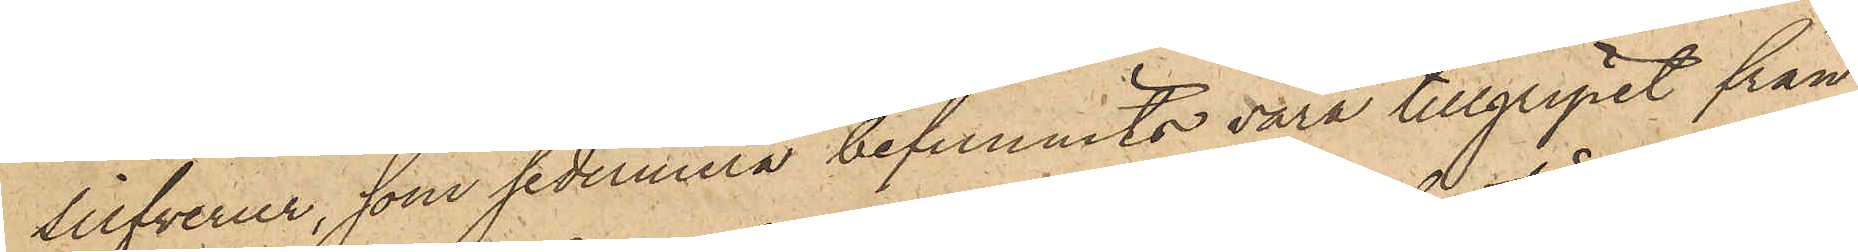silfverur, som sedermera befunnits vara tillgripet från
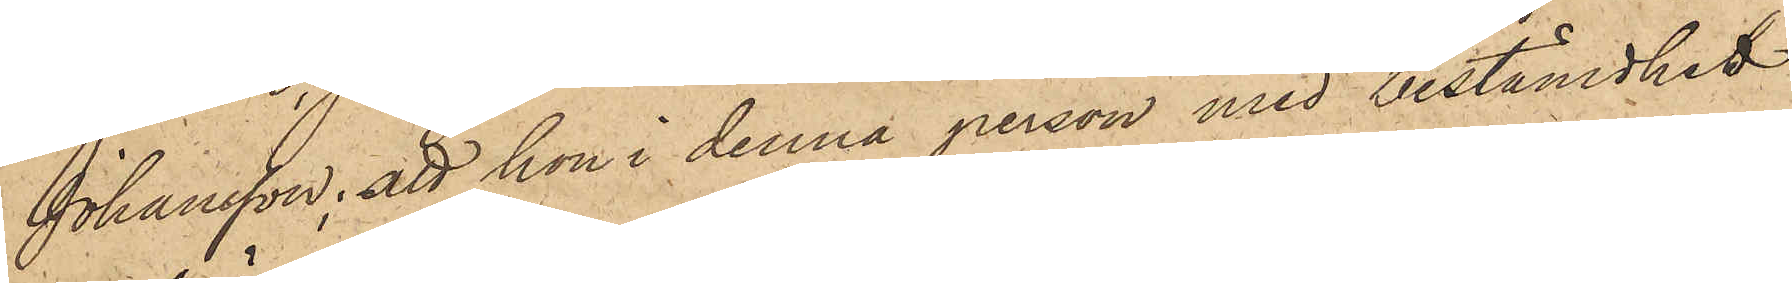Johansson; att hon i denna person med bestämdhet
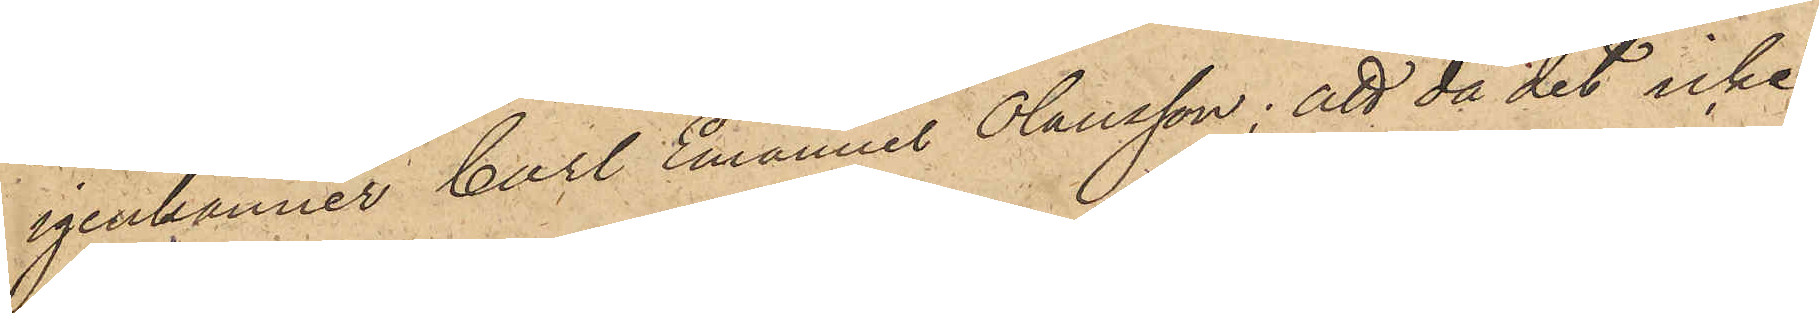igenkänner Carl Emanuel Olausson; att då det icke
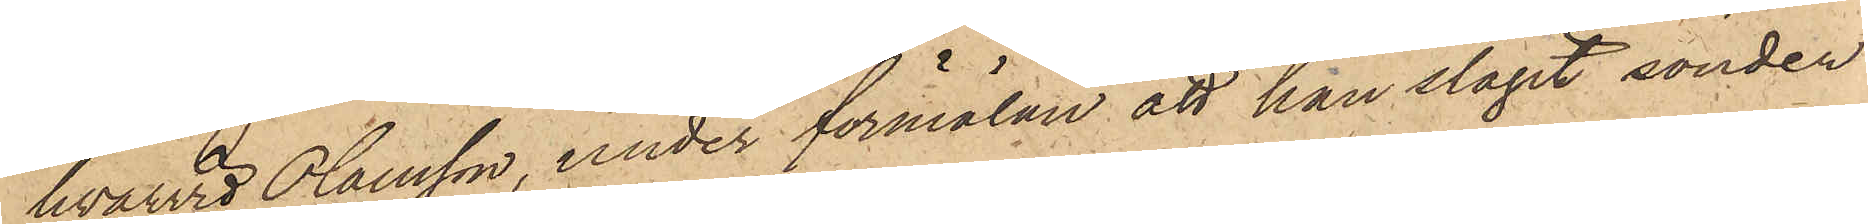hvarvid Olausson, under förmälan att han slagit sönder
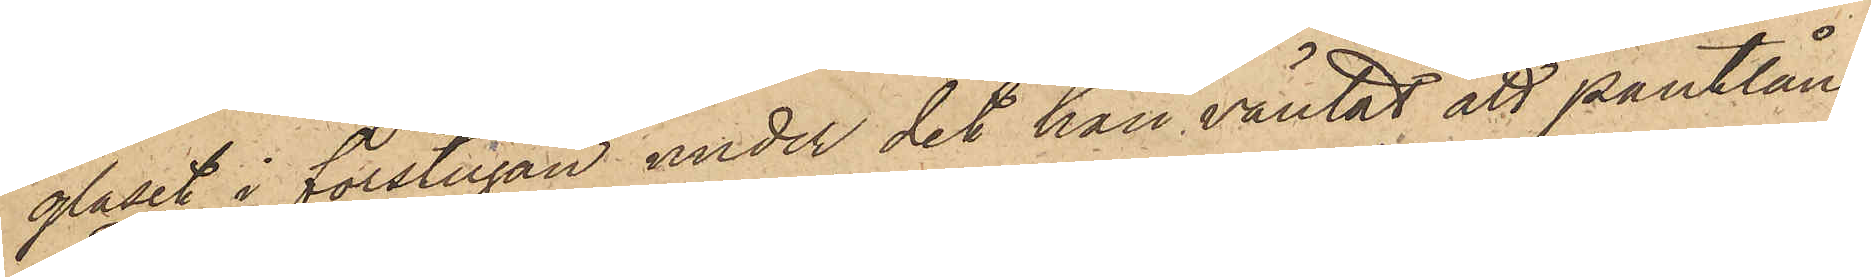glaset i förstugan under det han väntat att pantlåne¬
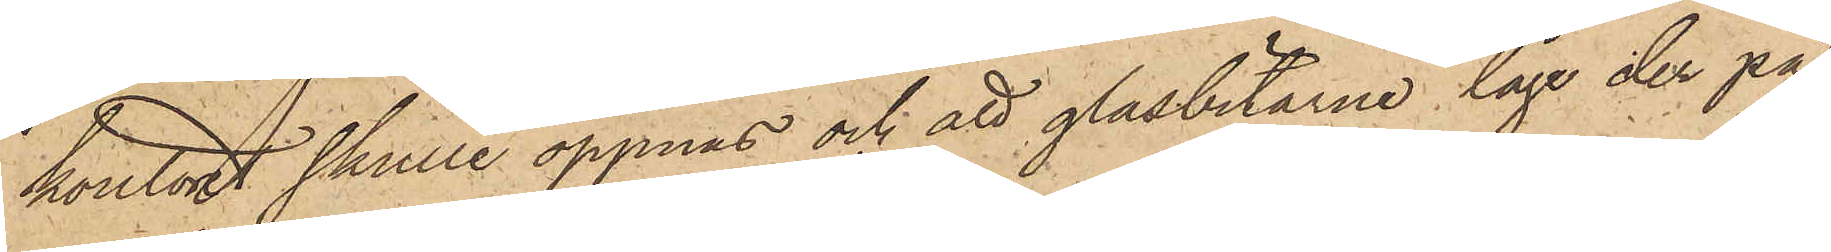kontoret skulle öppnas och att glasbitarne låge der på
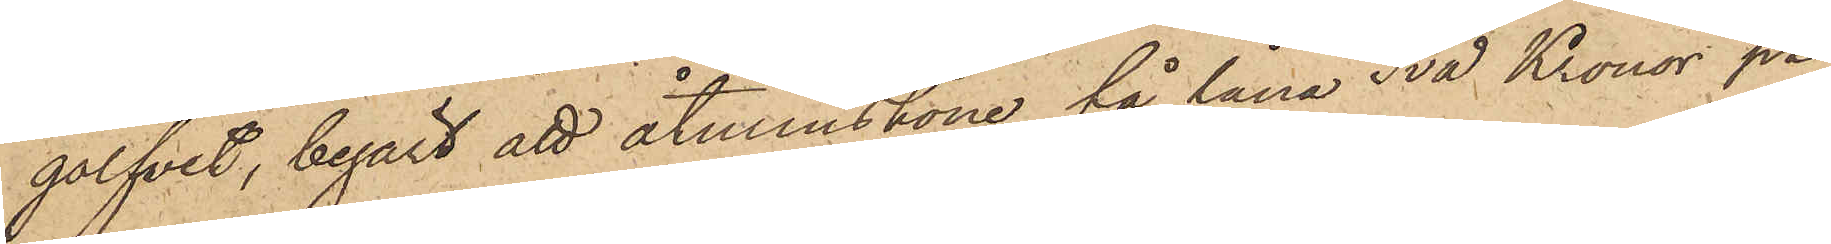golfvet, begärt att åtminstone få låna Två Kronor på
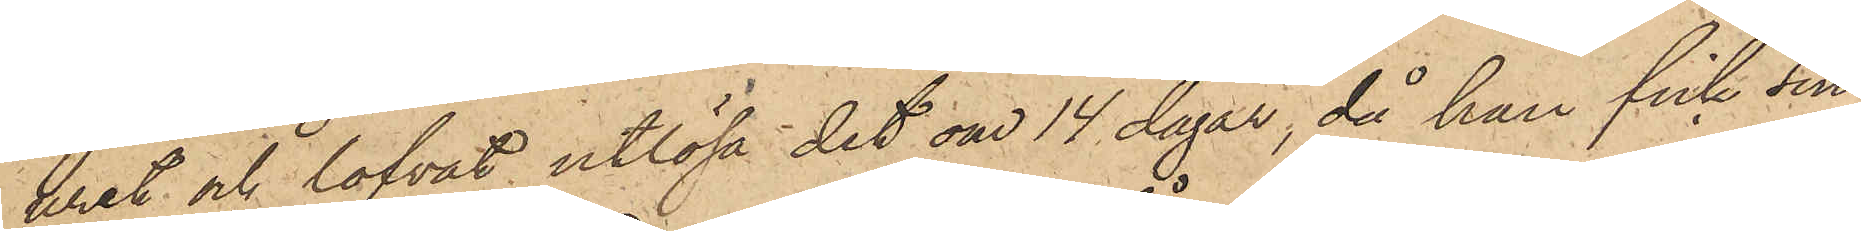uret och lofvat utlösa det om 14 dagar, då han fick sin
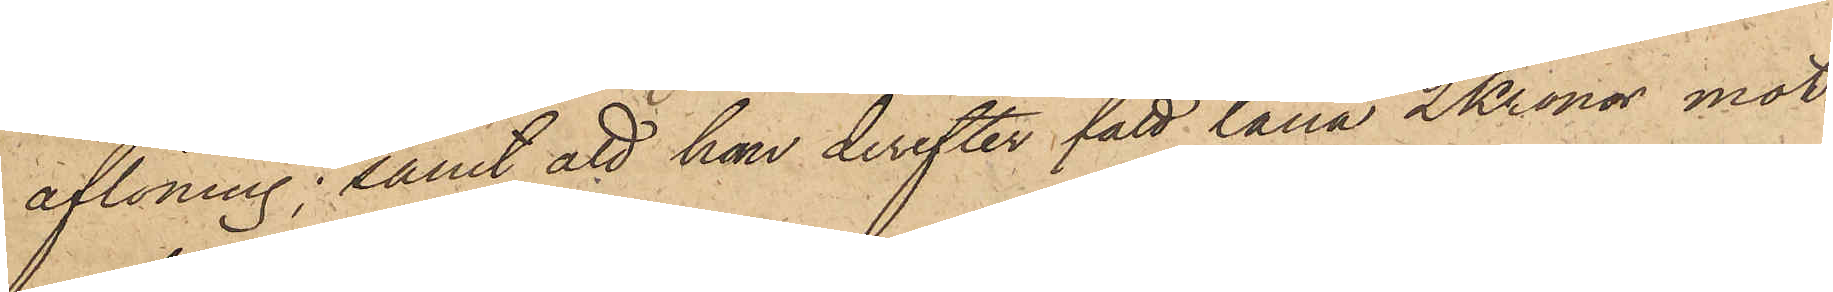aflöning; samt att han derefter fått låna 2 Kronor mot
